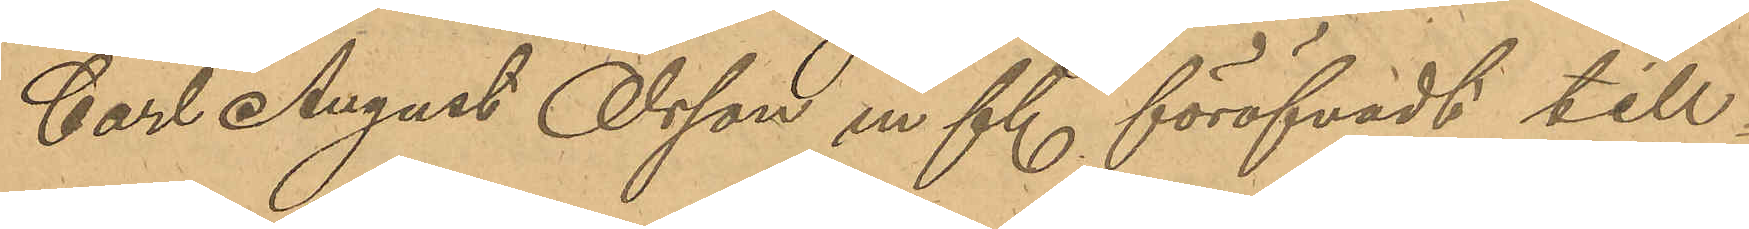Carl August Olsson m fl. föröfvadt till¬
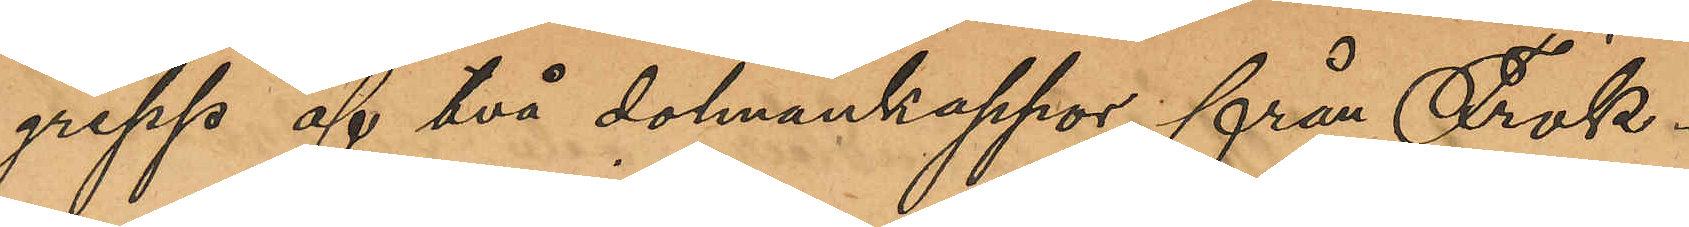grepp af två dalmankappor från Frök¬
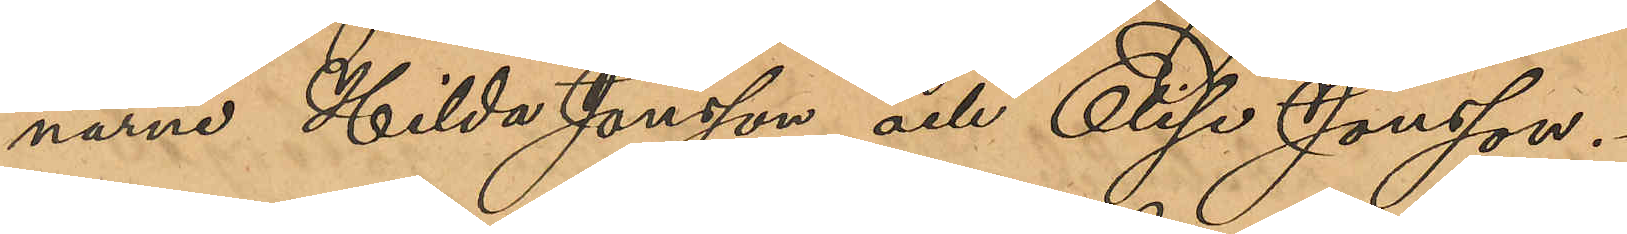narne Hilda Jansson och Elise Jonsson.
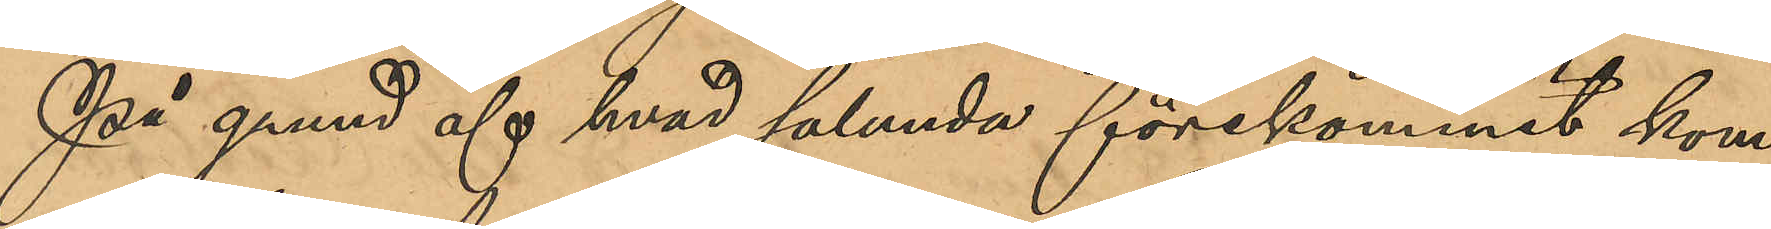På grund af hvad sålunda förekommit kom¬
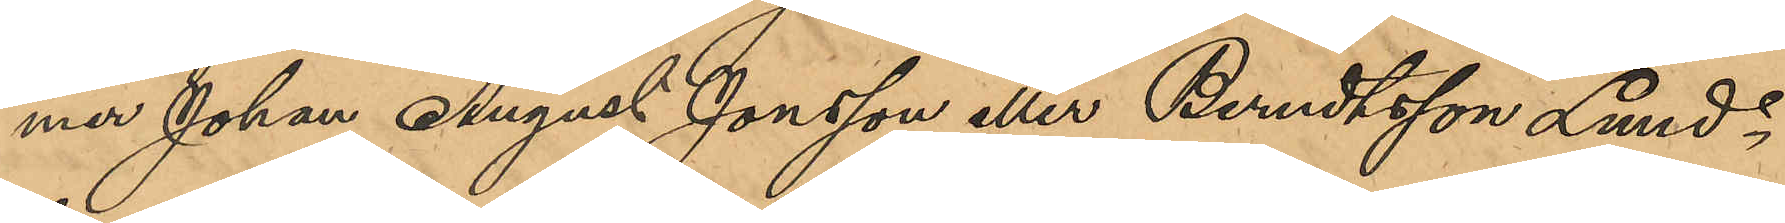merr Johan August Jonsson eller Berndtsson Lund¬
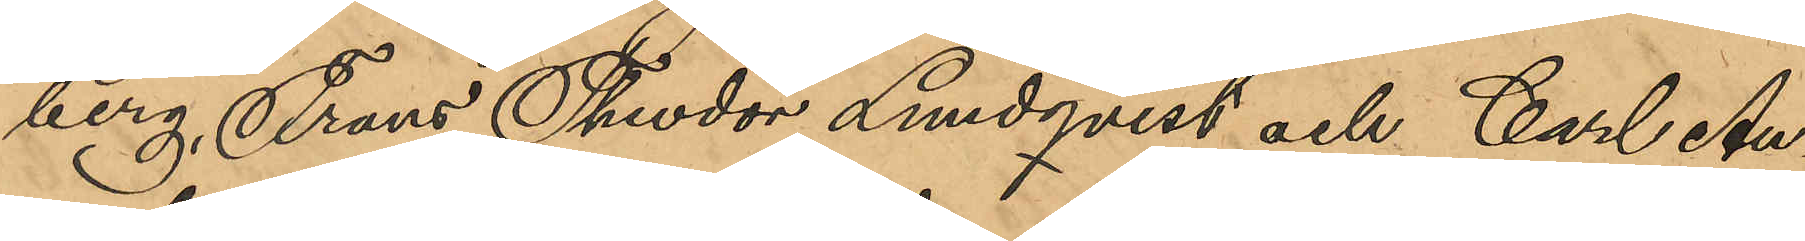berg, Frans Theodor Lundqvist och Carl Au¬
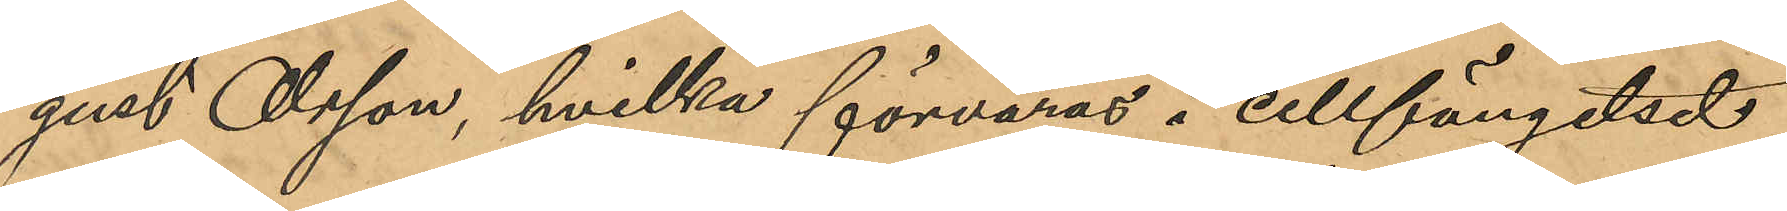gust Olsson, hvilka förvaras i cellfängelset,
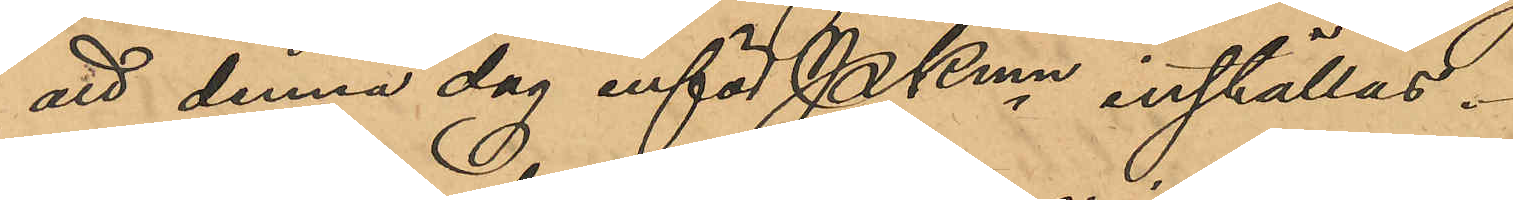att denna dag inför Pkmn inställas.
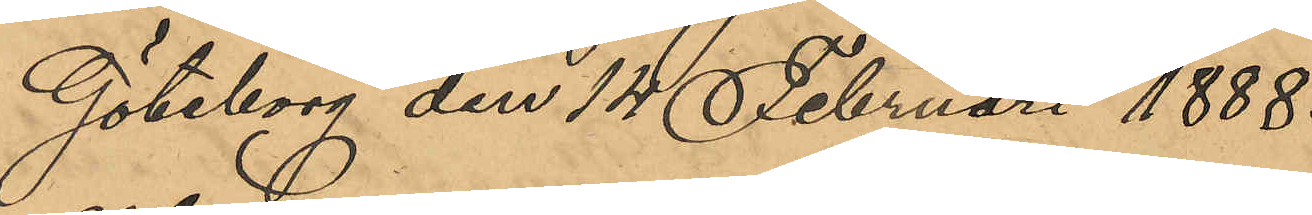Göteborg den 14 Februari 1888.
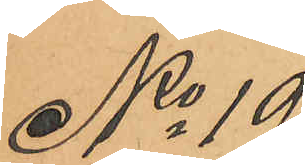No 19
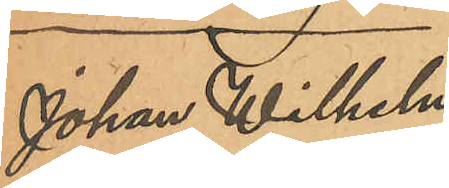Johan Wilhelm
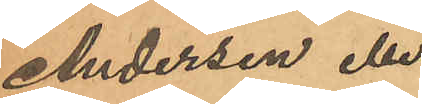Andersen eller
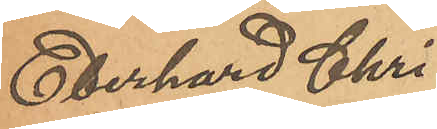Eberhard Chri¬
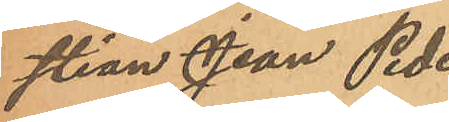stian Jean Peder
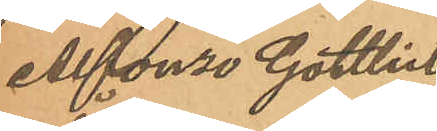Alfonso Gottlieb
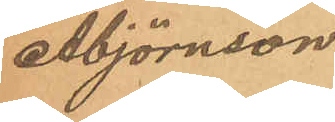Åbjörnson.
